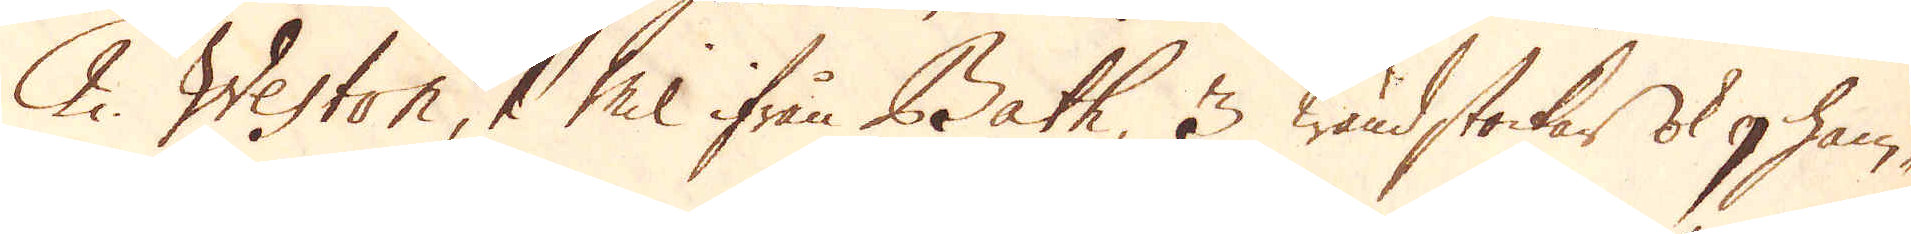2. Weston, 1 Mil ifrån Bath, 3 wändstockar ok 9 ham-
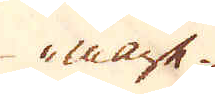mare.
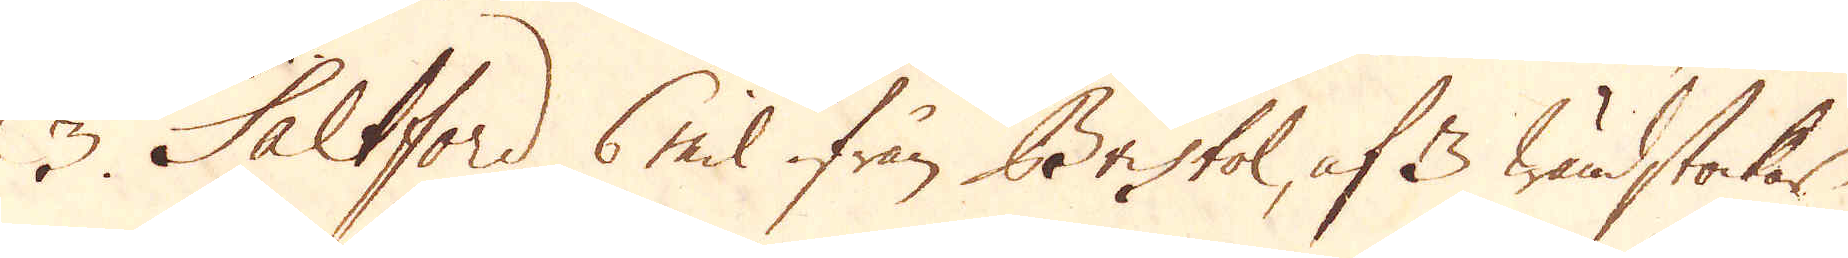3 Saltford 6 mil ifrån Bristol, af 3 wändstockar
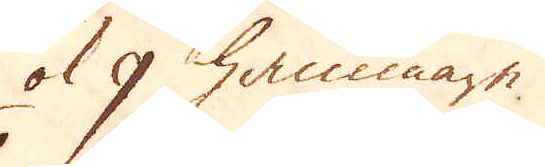ok 9 hammare.
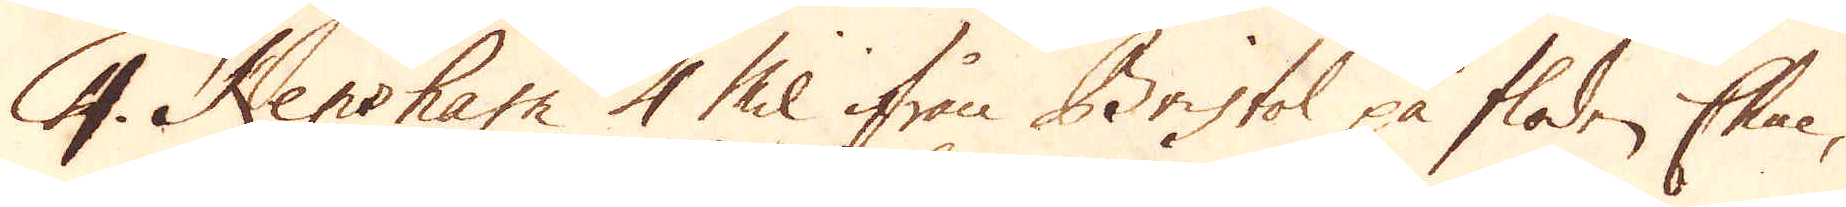4. Kensham 4 Mil ifrån Bristol på floden Chue,
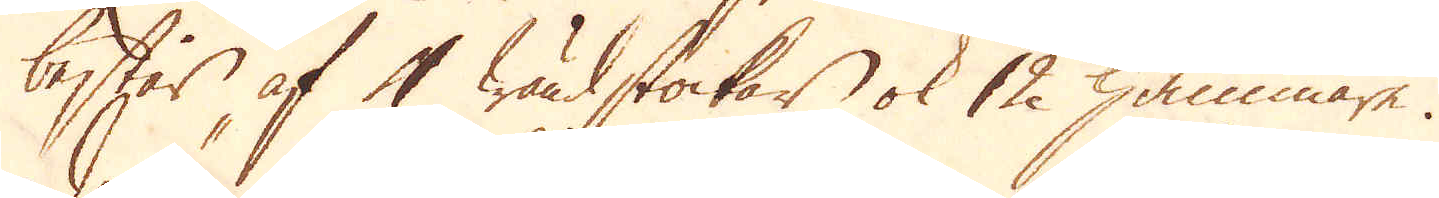består af 4 wändstockar ok 12 hammare.
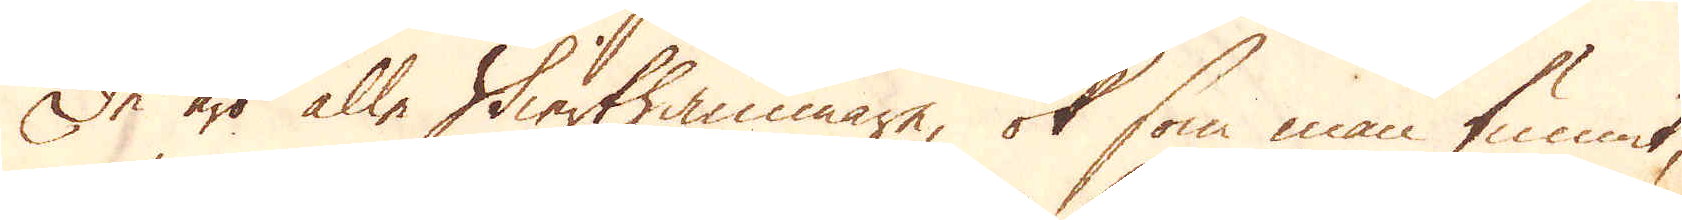De äro alle Stierthammare, ok som man funnit,
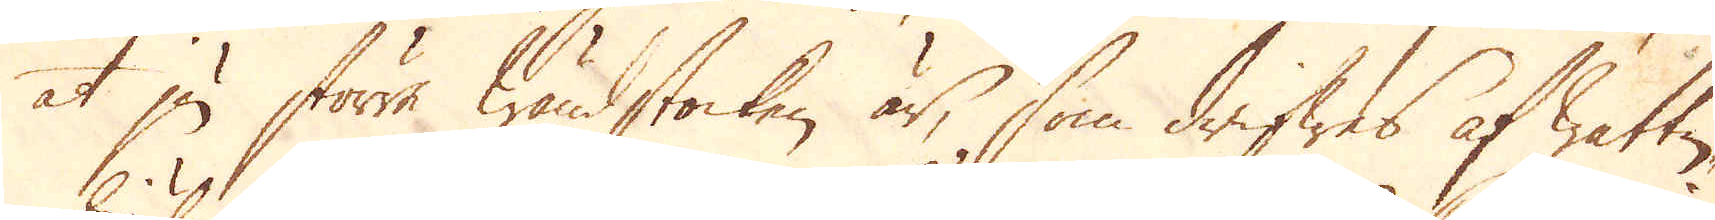at ju större wändstocken är, som drifwes af wattu-
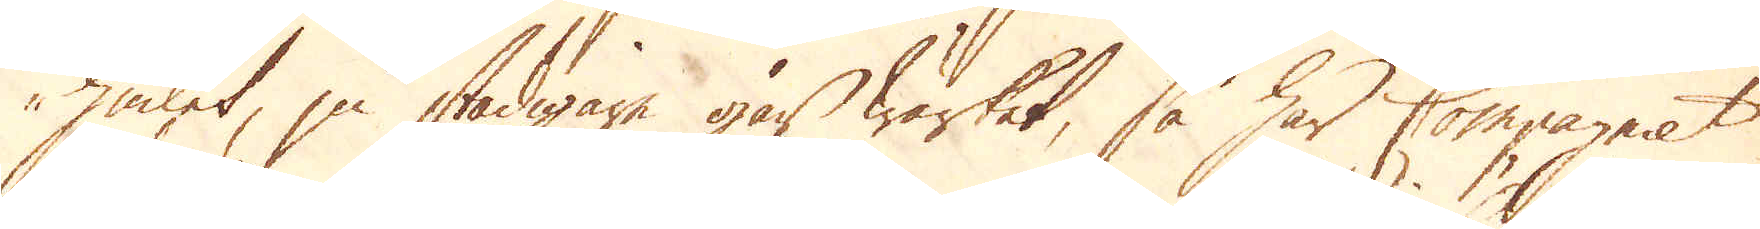hiulet, ju stadigare går Wärket, så har Compagniet
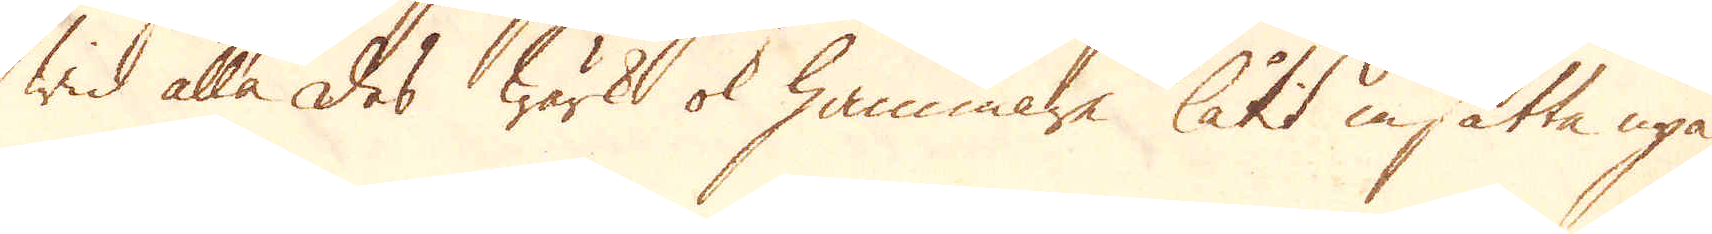wid alla des wärk ok hammare låtit insätta upå
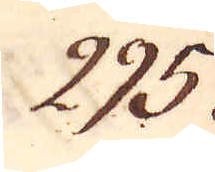295.
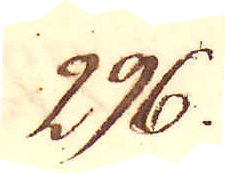296.
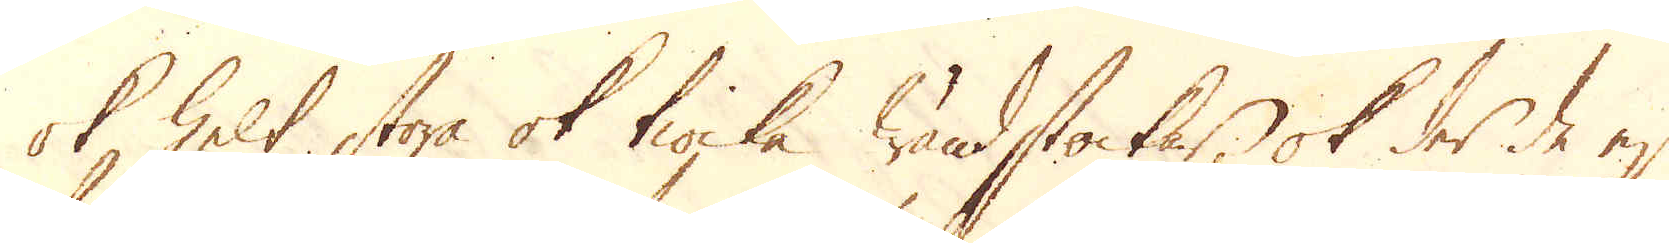ok helt stora ok tiocka wändstockar, ok der de ej
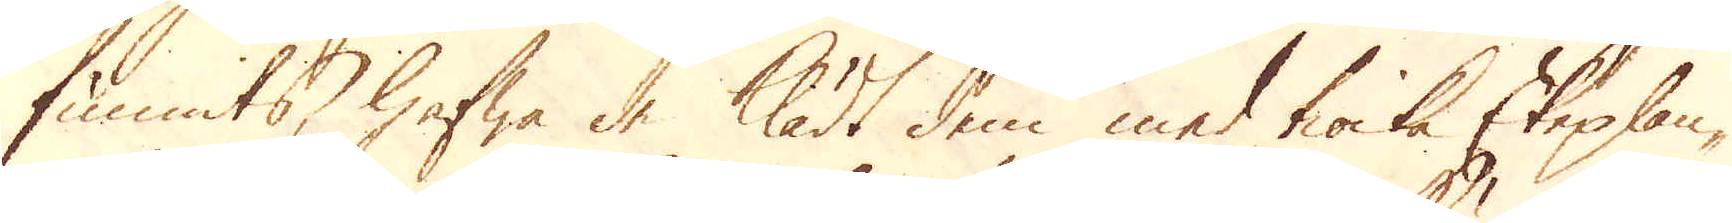funnits, hafwa de klädt dem med tiocka Ekeplan-
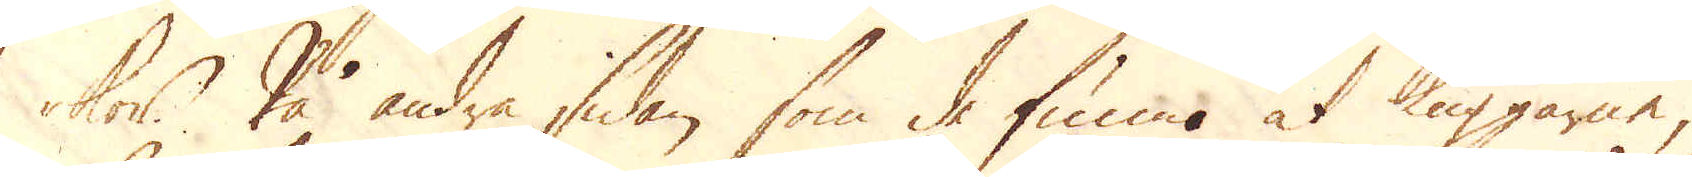kor. På andra sidan som de funno at käpparne,
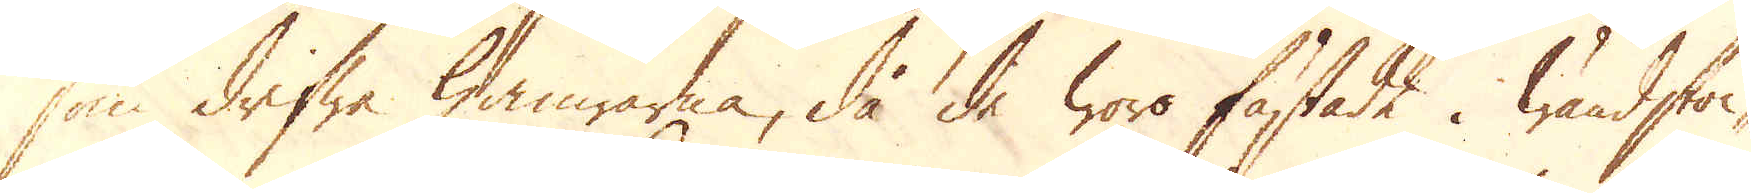som drifwa hamrarna, då de woro fästade i wändstoc-
